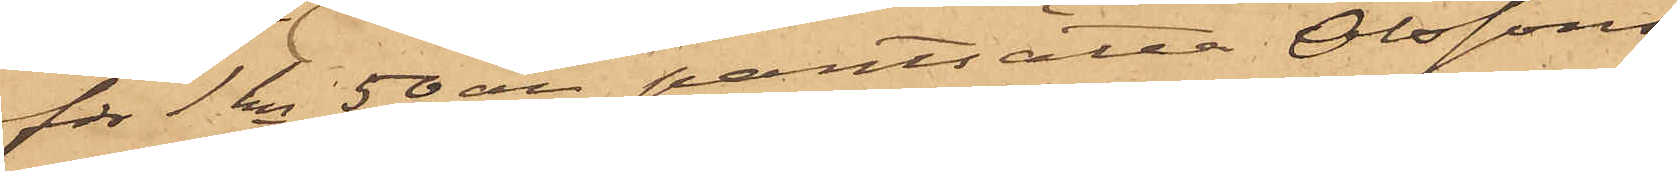för 1 kr 50 öre pantsätta Olssons
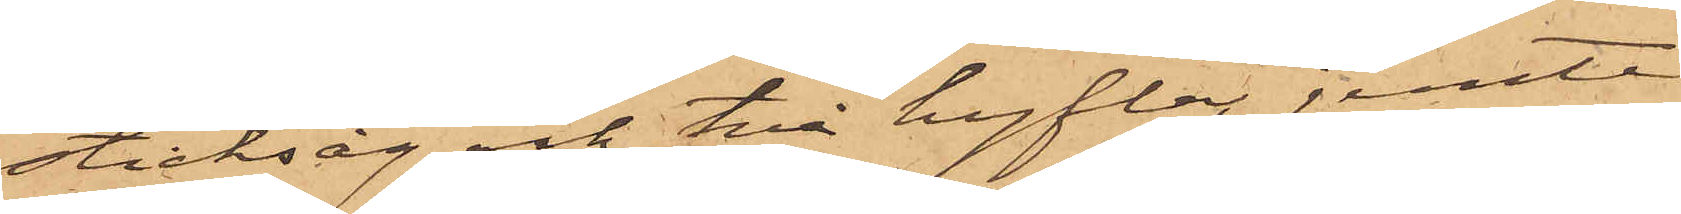sticksåg och två hyflar jemte
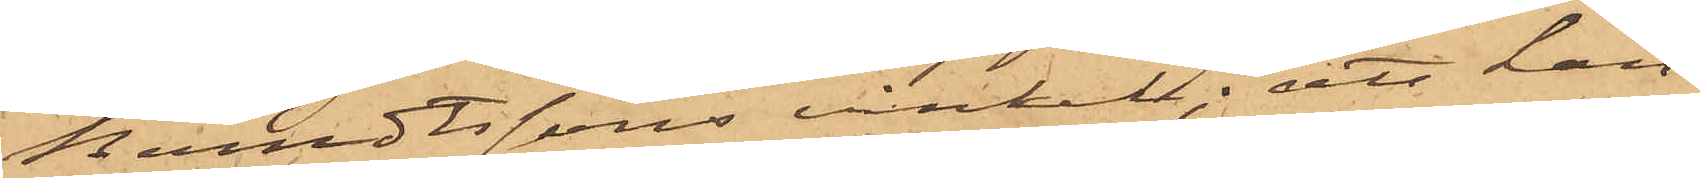Berndtssons vinkel; att han
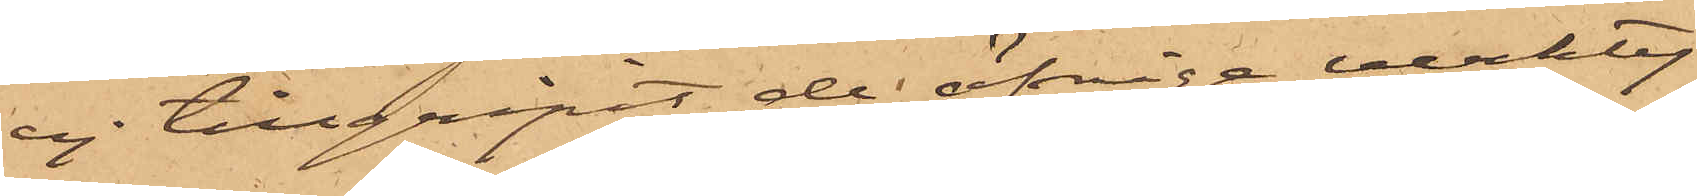ej tillgripit de öfrige verkty¬
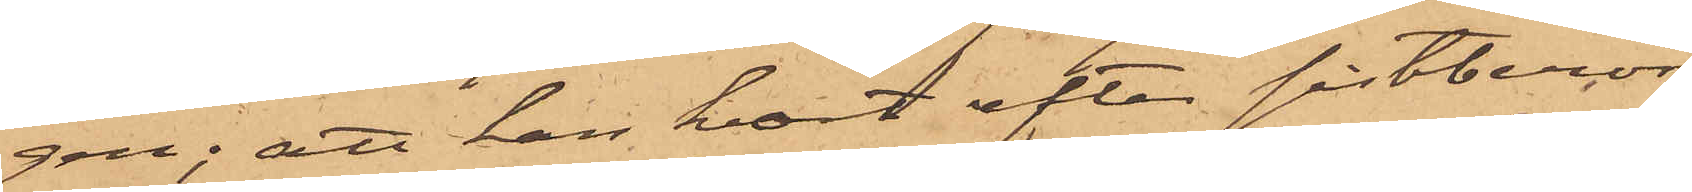gen; att han kort efter sistberör¬
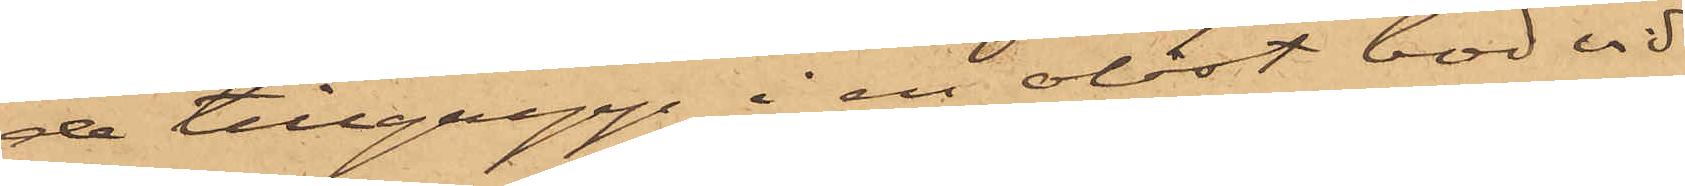de tillgrepp i en olåst bod vid
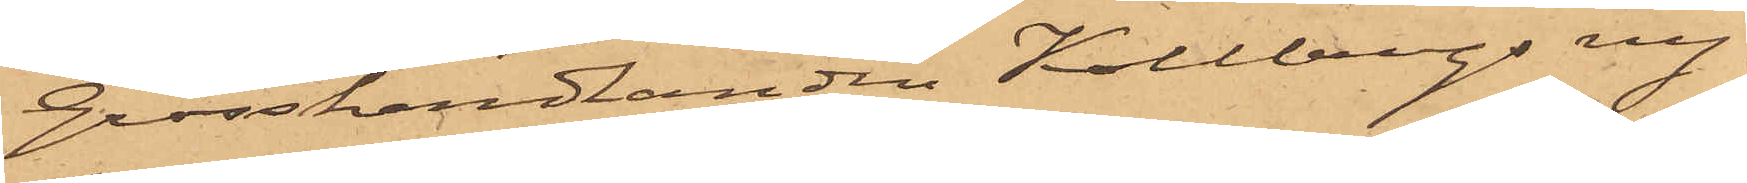Grosshandlanden Kollbergs ny¬
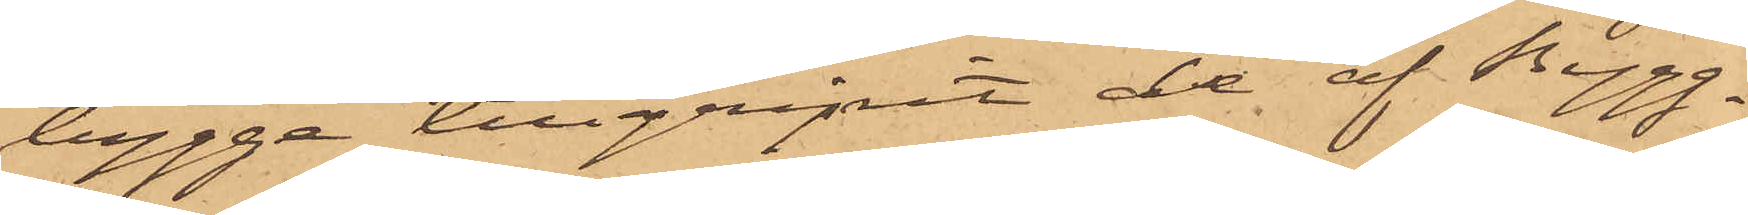bygge tillgripit de af Bygg¬
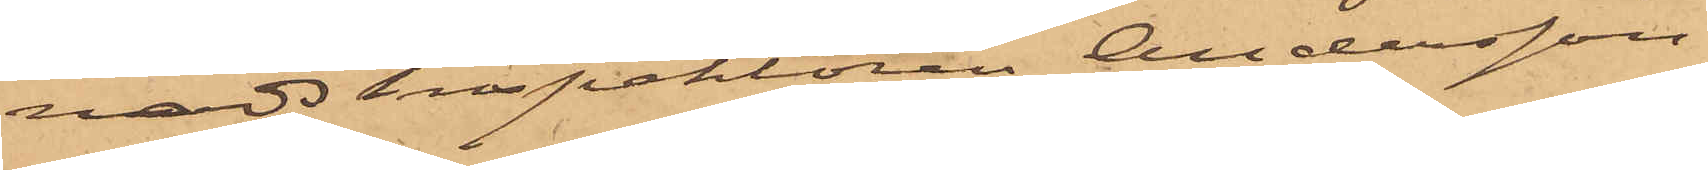nadsinspektören Andersson
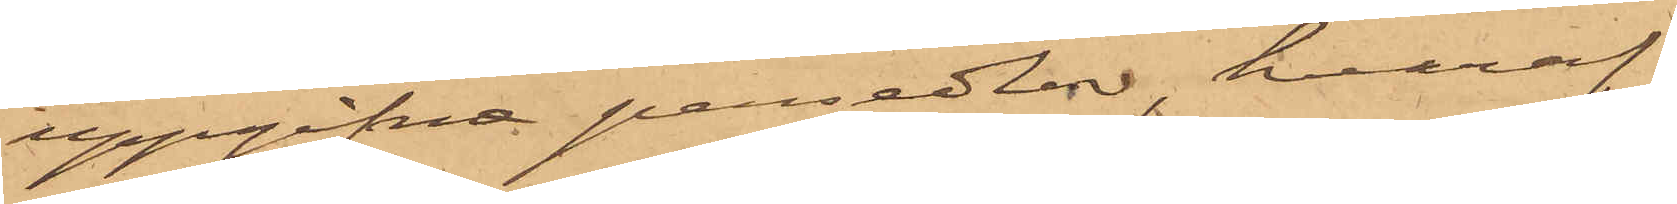uppgifna persedlar, hvaraf
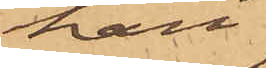han
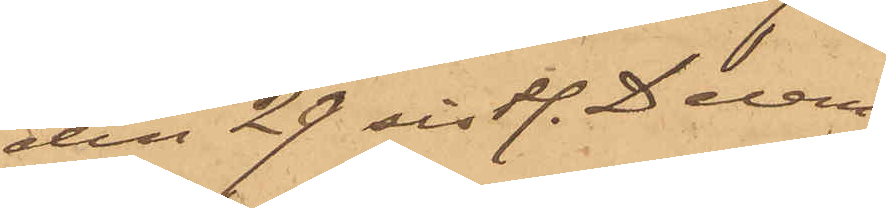den 29 sistl. Decem¬
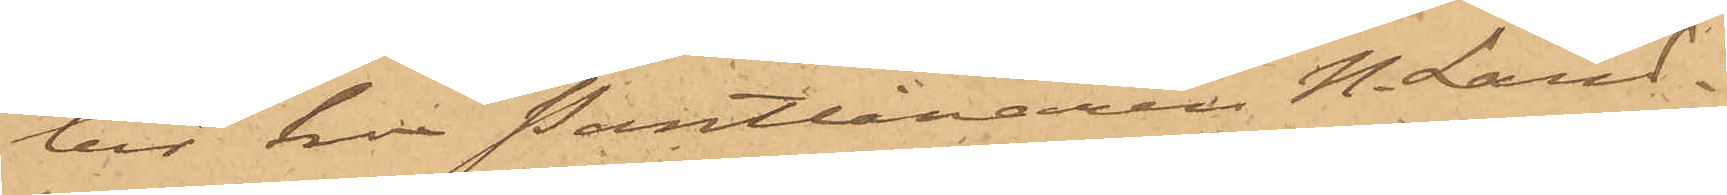ber hos Pantlånaren N. Land¬
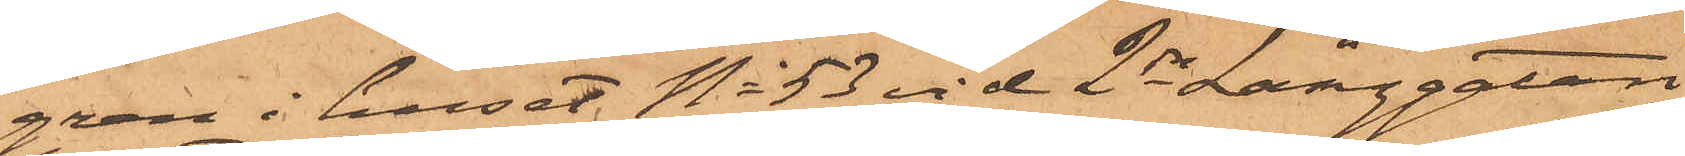gren i huset No 53 vid 2dra Långgatan,
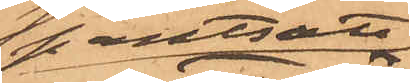pantsatt
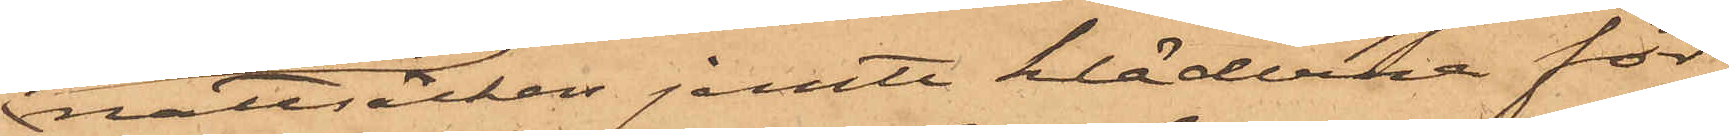nattsärken jemte kläderna för
